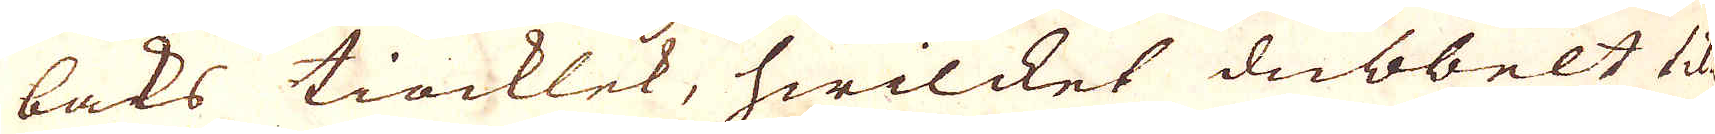baks tiocklek, hwilcket dubbelt til-
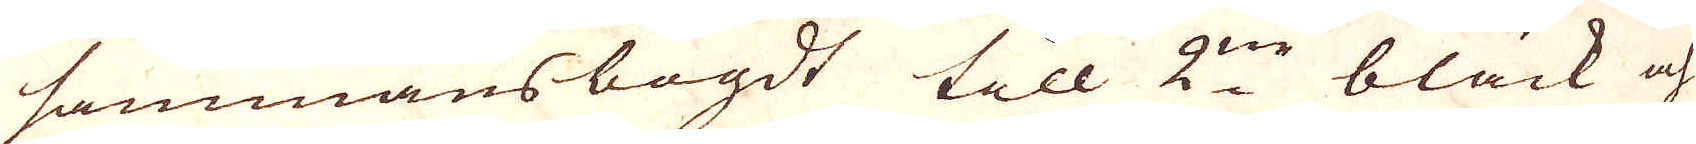sammansbögdt till 2:ne bläck och
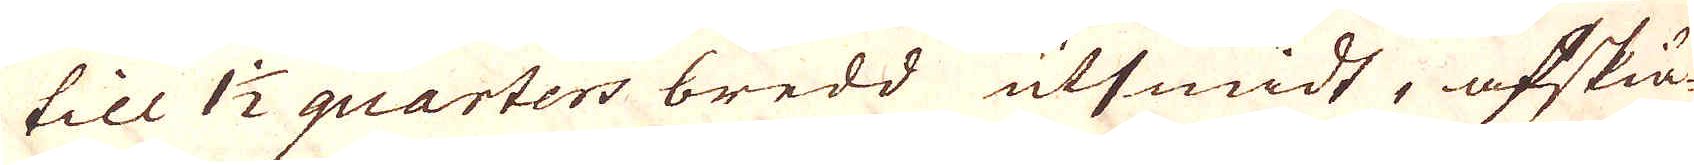till 1 1/2 quarters bredd utsmidt, afskiä-
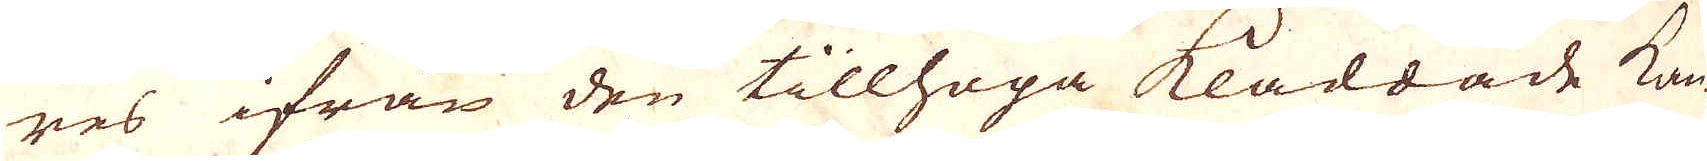res ifrån den tillhopa Kladdade kan-
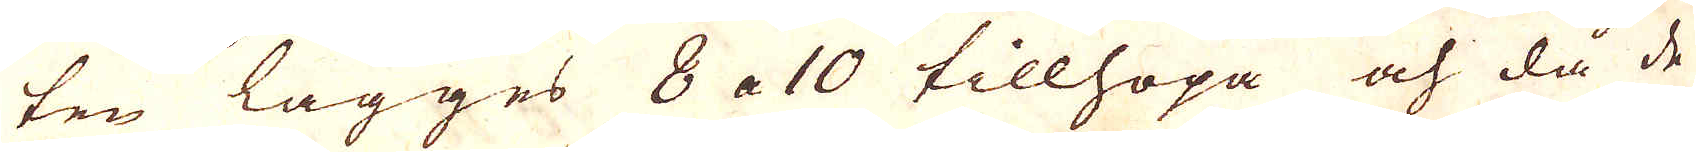ten lägges 8 a 10 tillhopa och då de
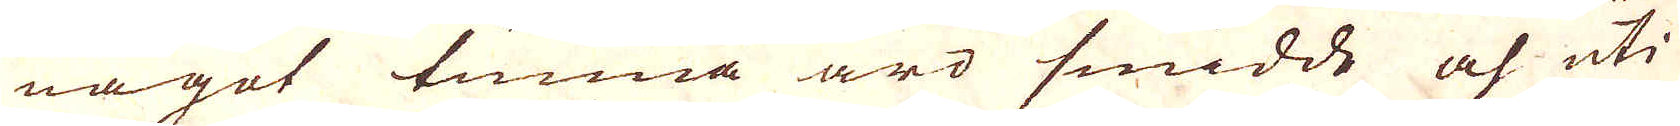något tunna äro smidde och uti
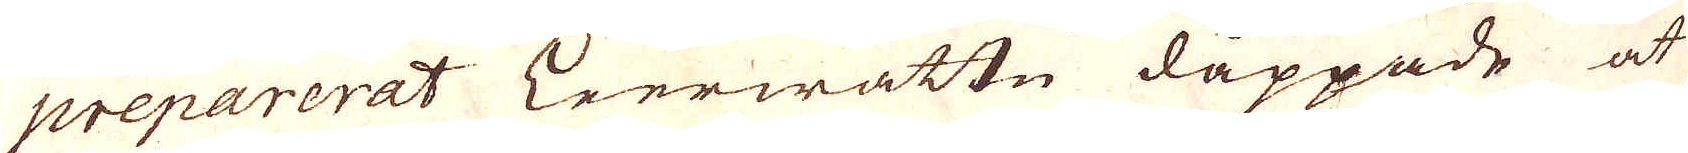preparerat Leerwattn dåppade at
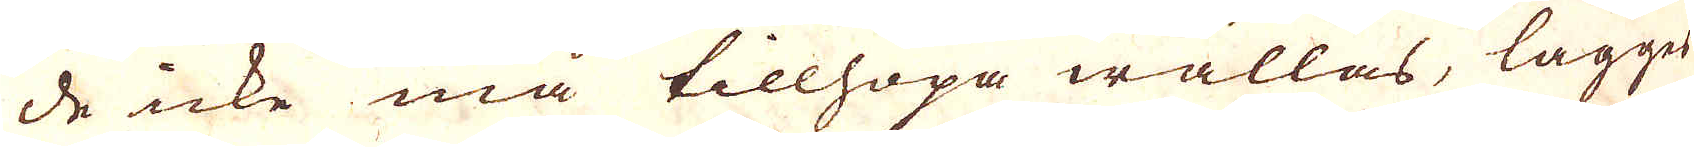de icke må tillhopa wällas, lägges
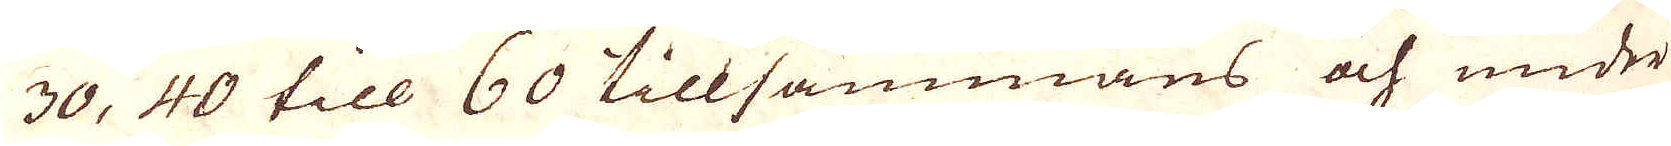30, 40 till 60 tillsammans och under
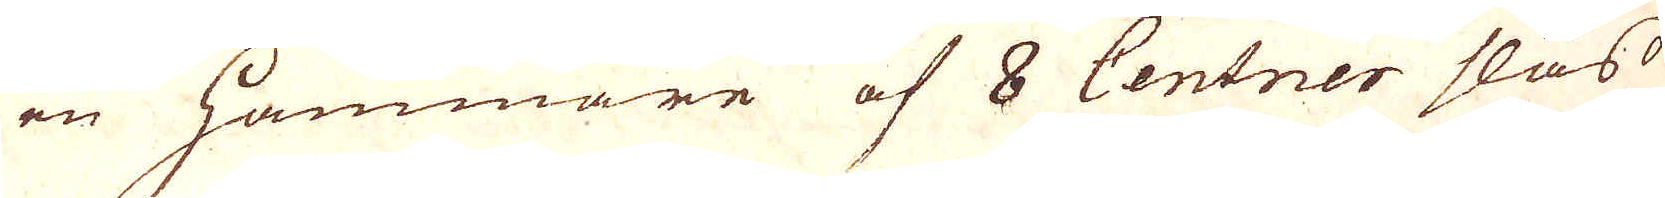en Hammare af 8 Centner slås
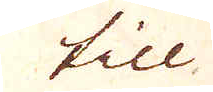till
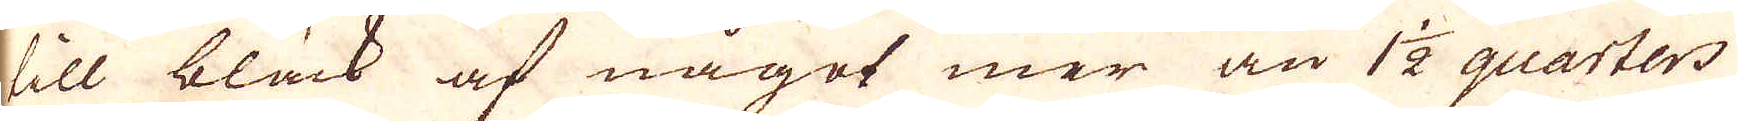till bläck af något mer än 1 1/2 quarters
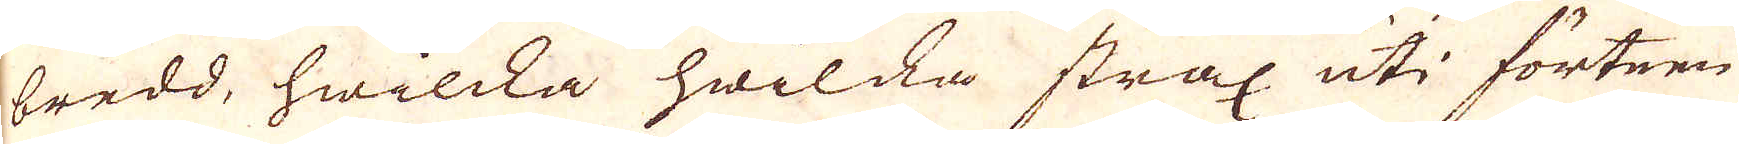bredd, hwilcka hwilcka strax uti förteen
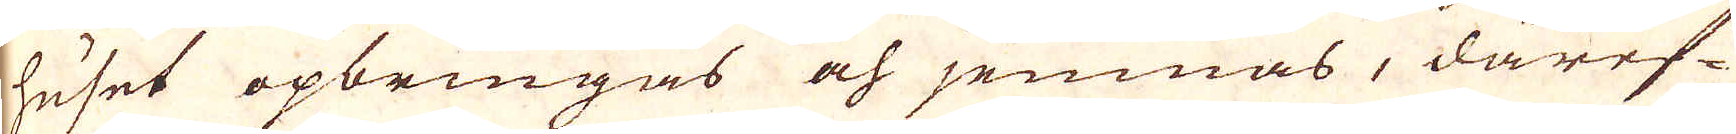huset opbringas och jemnas, däref-
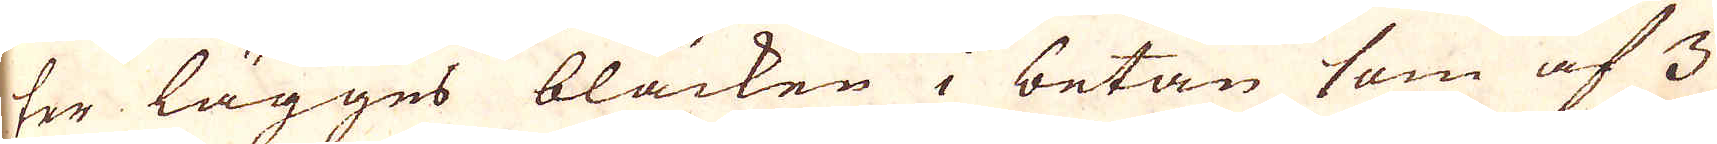ter lägges bläcken i betan som af 3
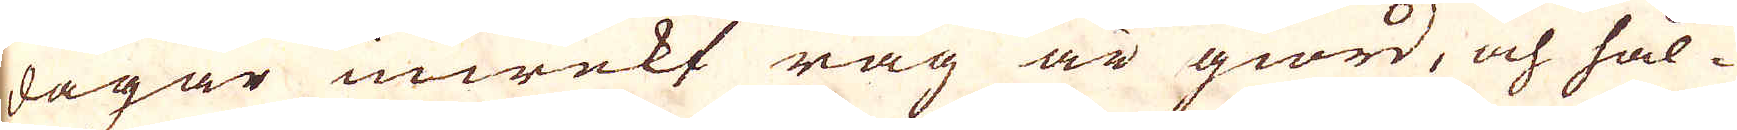dagar inwekt råg är giord, och hål-
